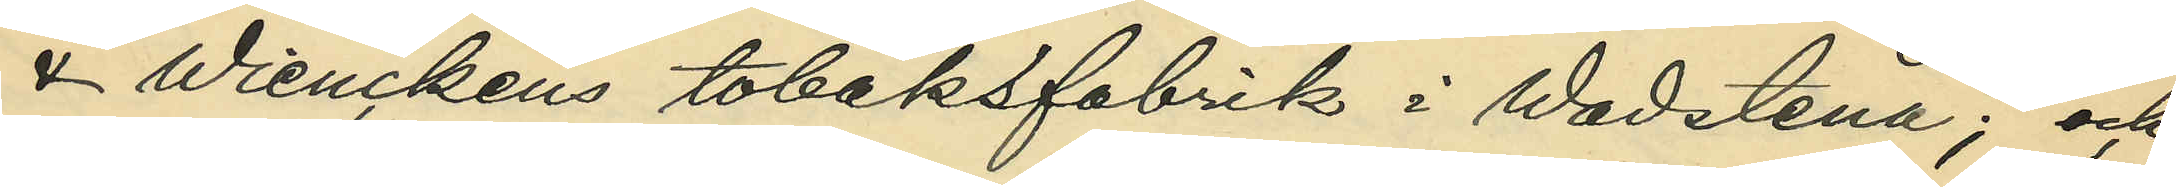& Wienchens tobaksfabrik i Wadstena; och
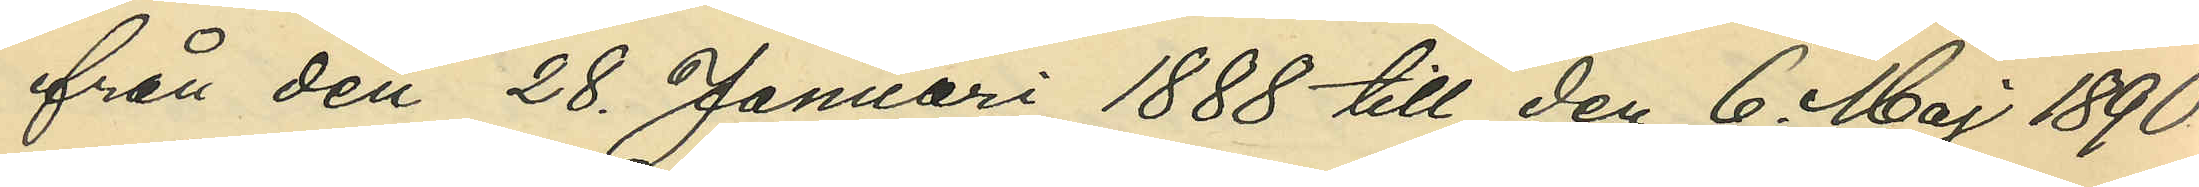från den 28. Januari 1888 till den 6. Maj 1890
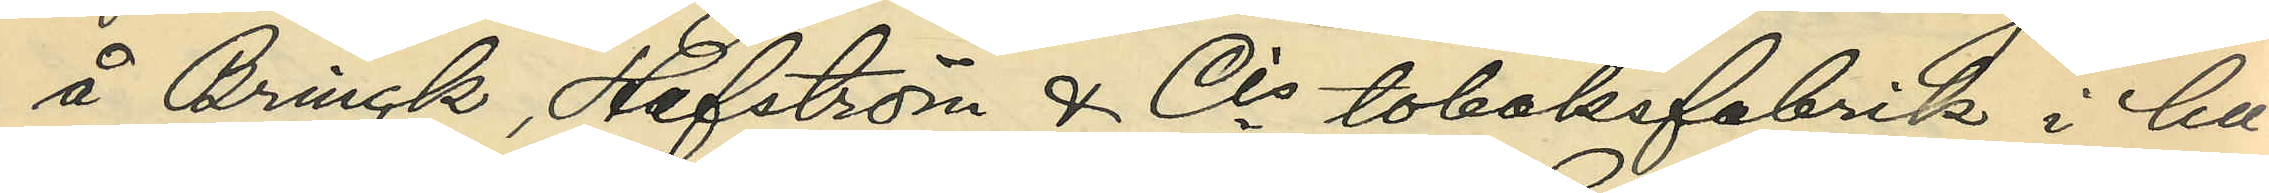å Brinck, Hafström & Cis tobaksfabrik i hu¬
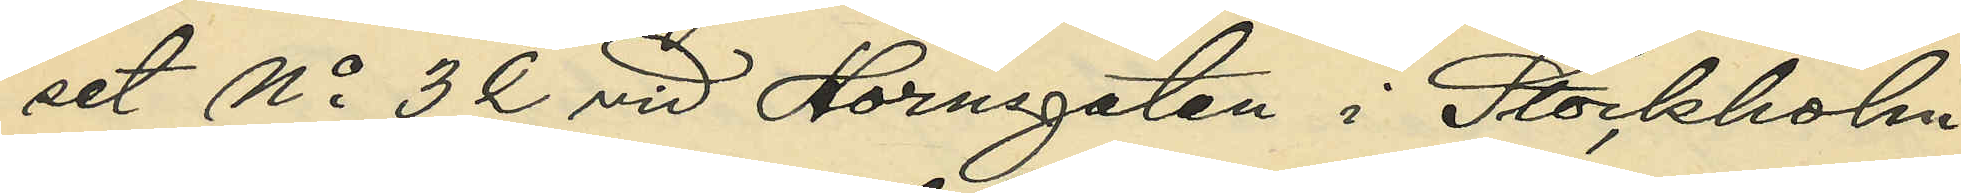set No 3 C vid Hornsgatan i Stockholm;
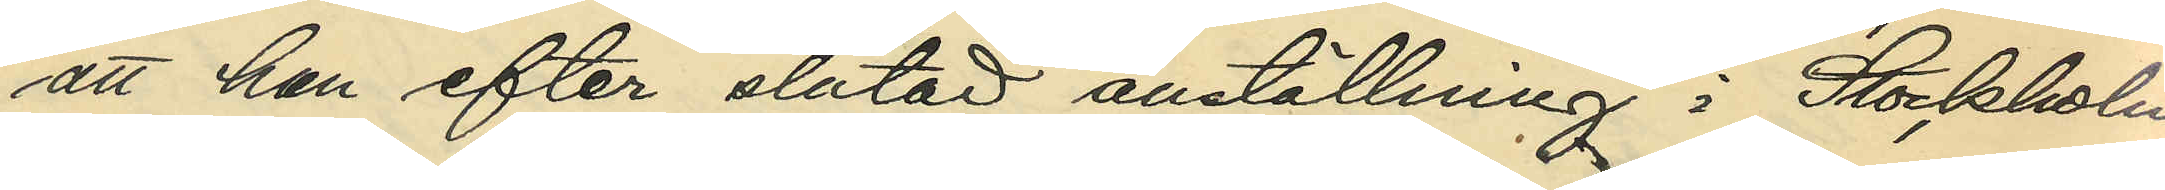att han efter slutad anställning i Stockholm
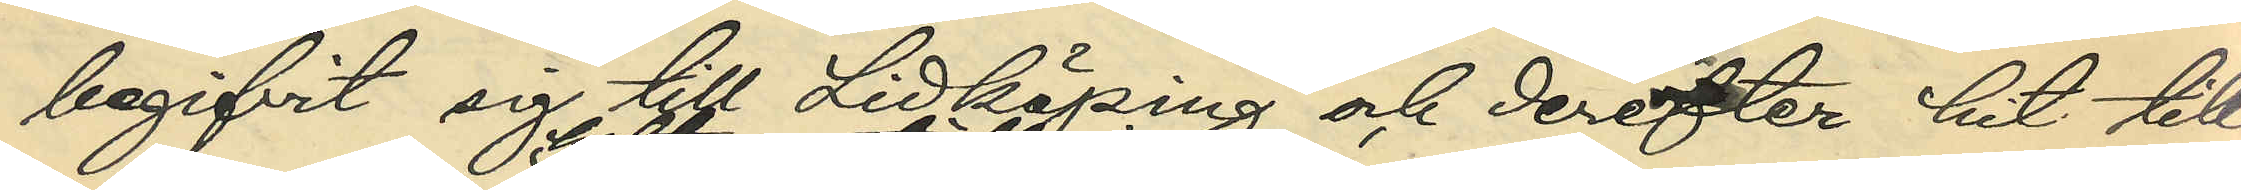begifvit sig till Lidköping och derefter hit till
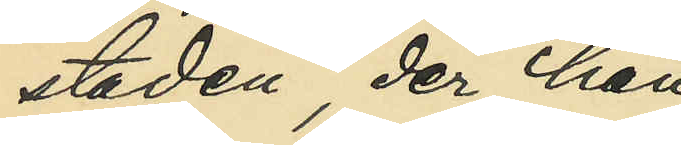staden, der han
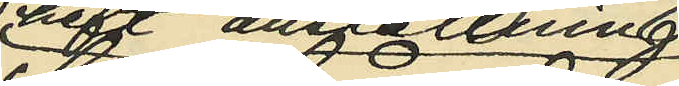haft anställning
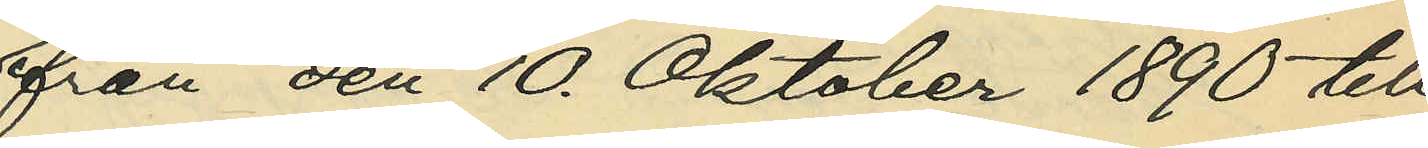från den 10. Oktober 1890 till
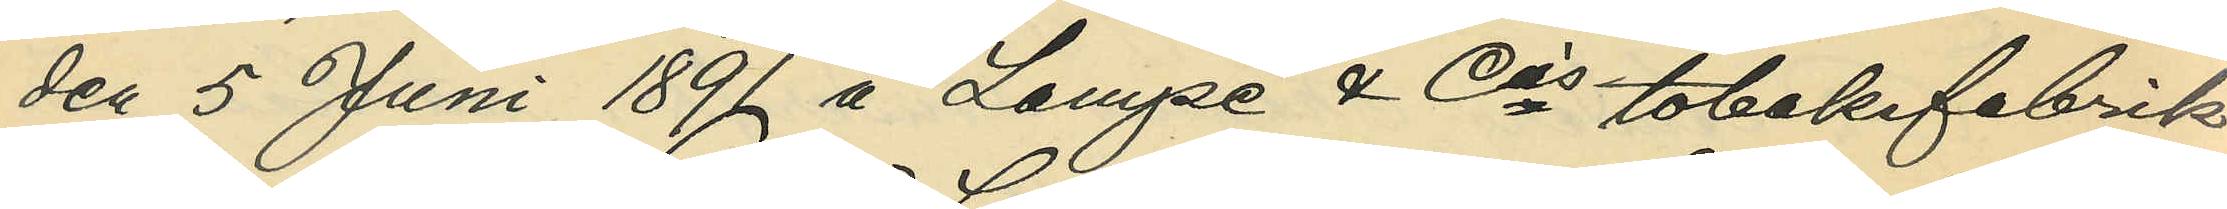den 5. Juni 1891 å Lampe & Cis tobaksfabrik
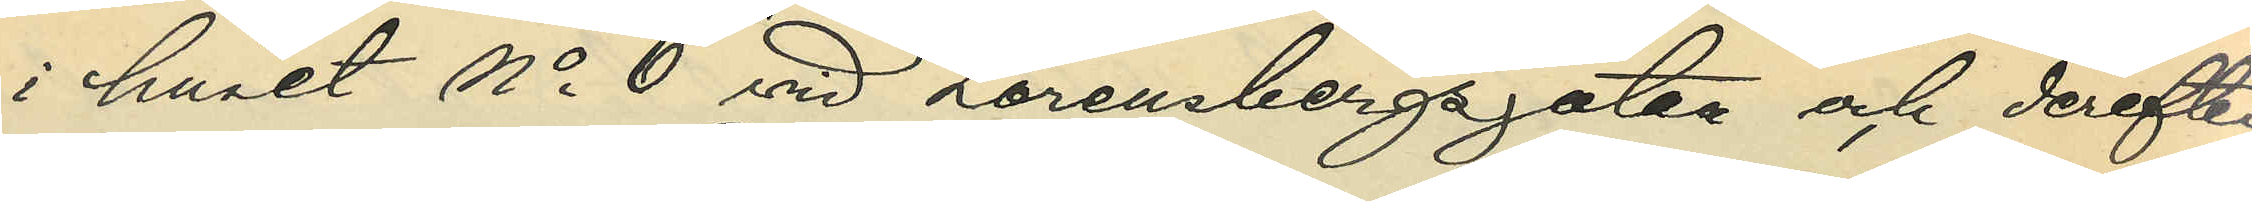i huset No 6 vid Lorensbergsgatan och derefter
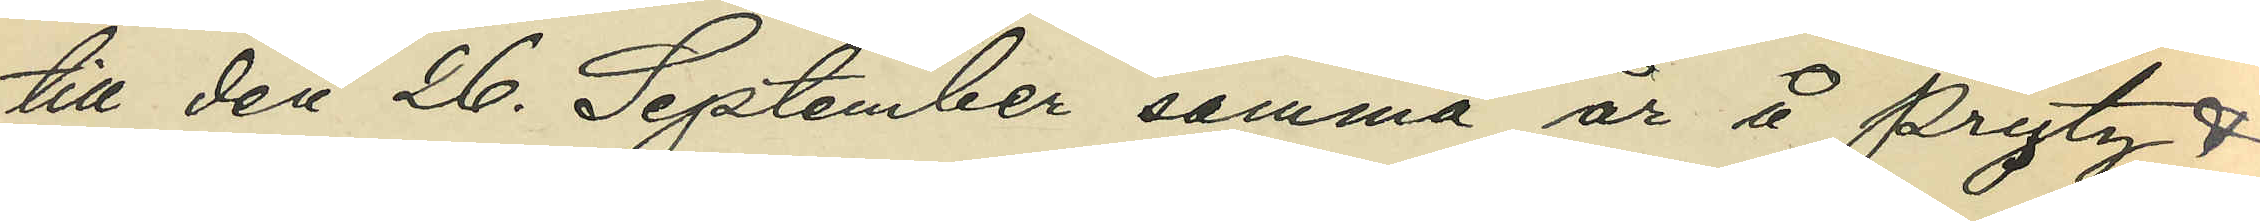till den 26. September samma år å Prytz &
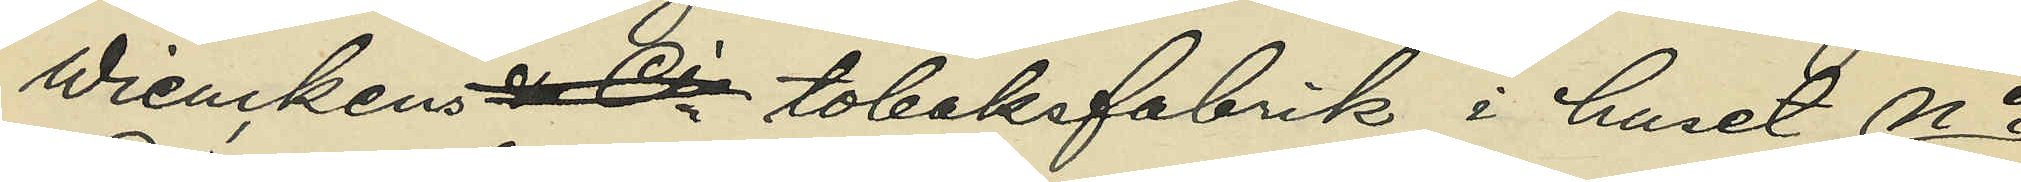Wienckens & Cis tobaksfabrik i huset No
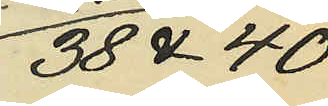38 & 40
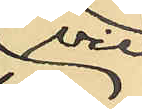vid
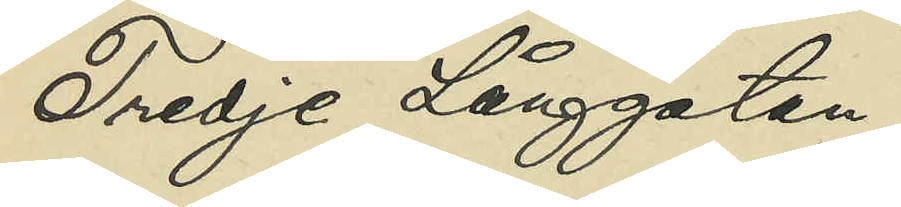Tredje Långgatan;
